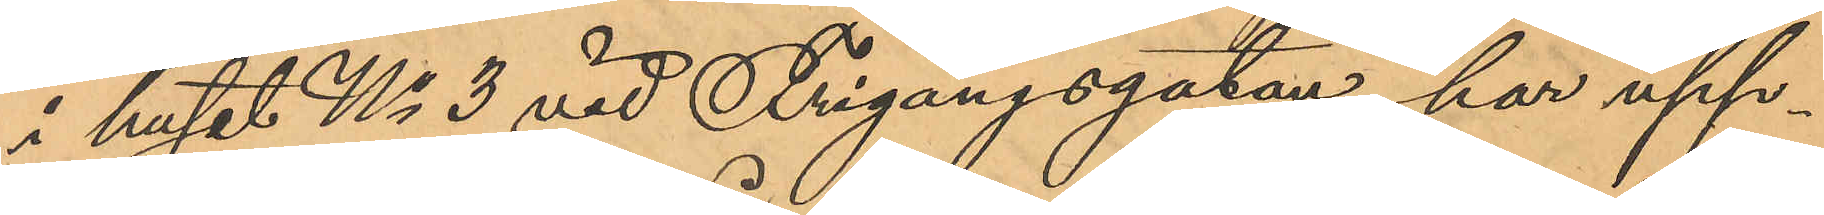i huset No 3 vid Frigångsgatan, har upp¬
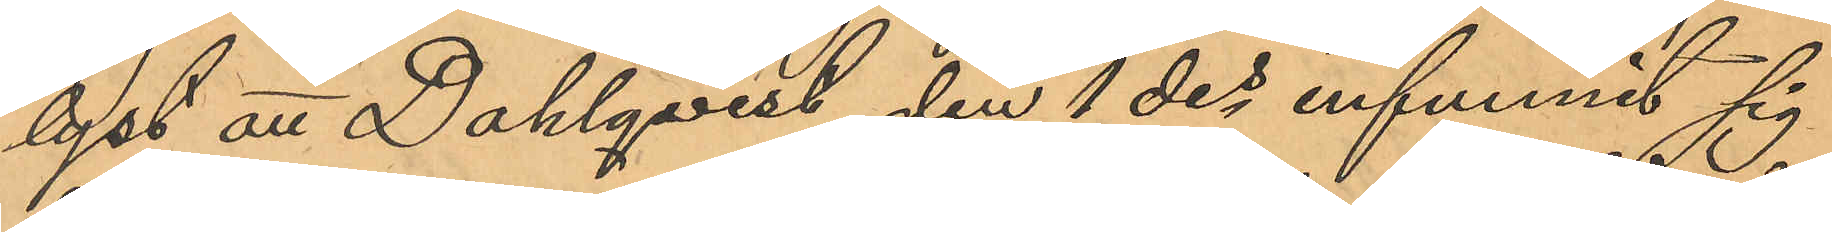lyst att Dahlqvist den 1 des infunnit sig
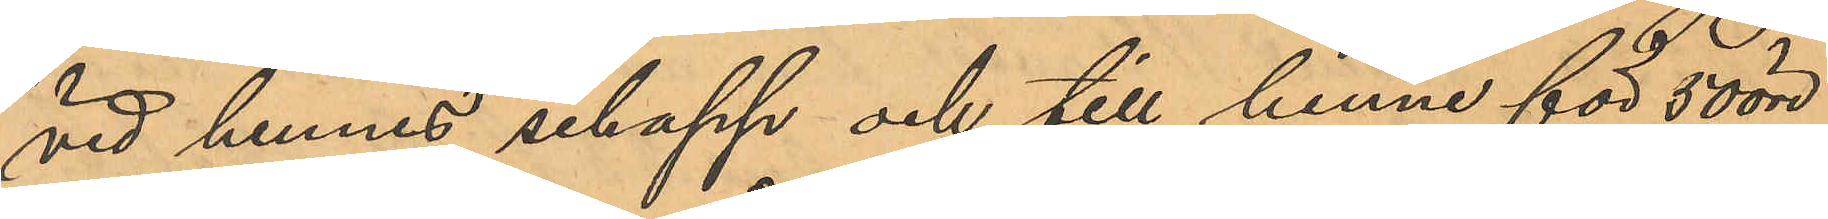vid hennes schapp och till henne för 50 öre
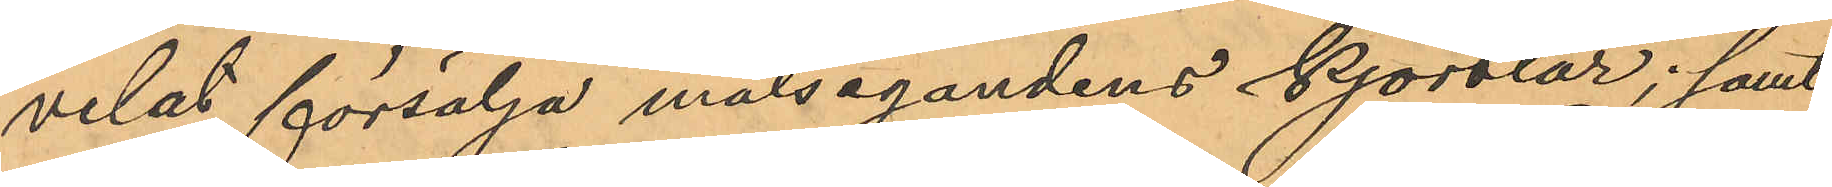velat försälja målsegandens kjortlar; samt
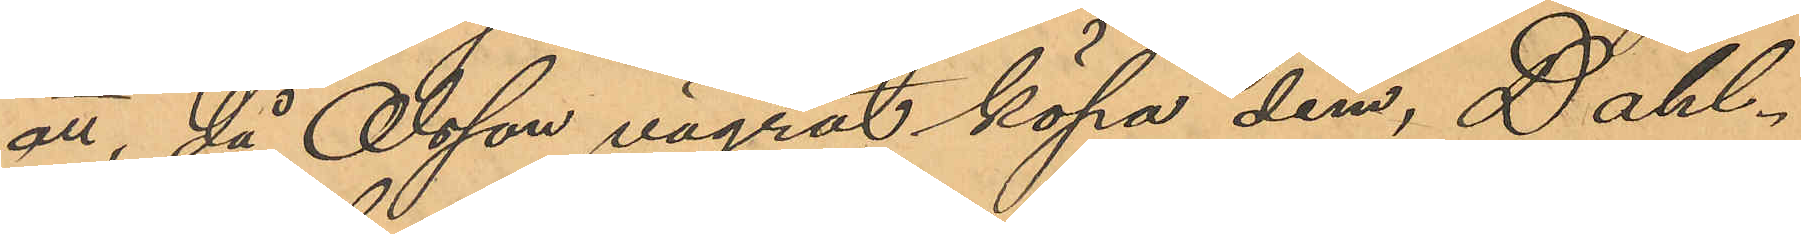att, då Olsson vägrat köpa dem, Dahl¬
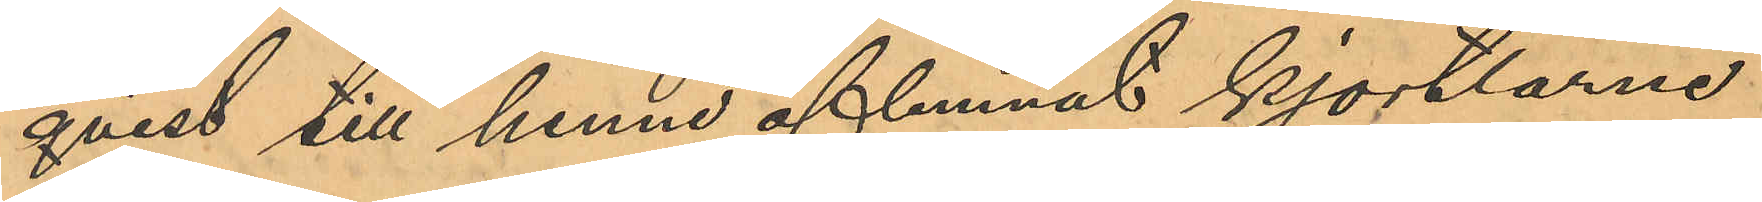qvist till henne aflemnat kjortlarne
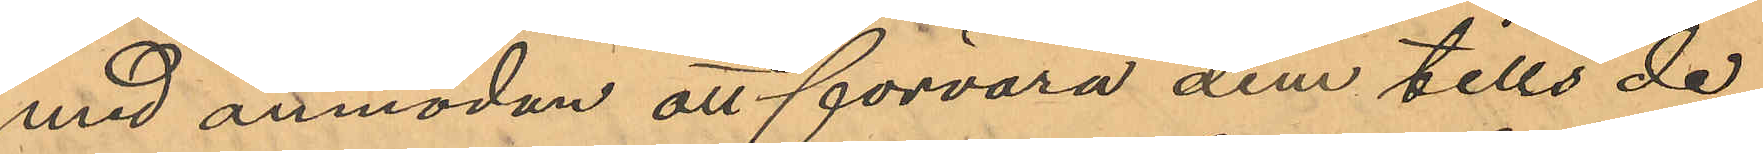med anmodan att förvara dem tills de
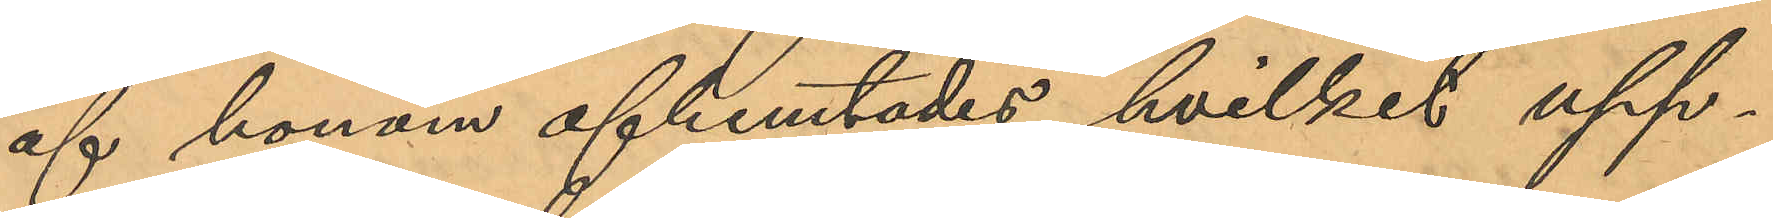af honom afhemtades, hvilket upp¬
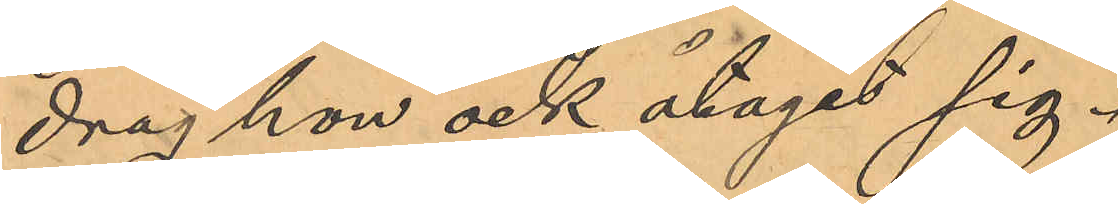drag hon ock åtagit sig.
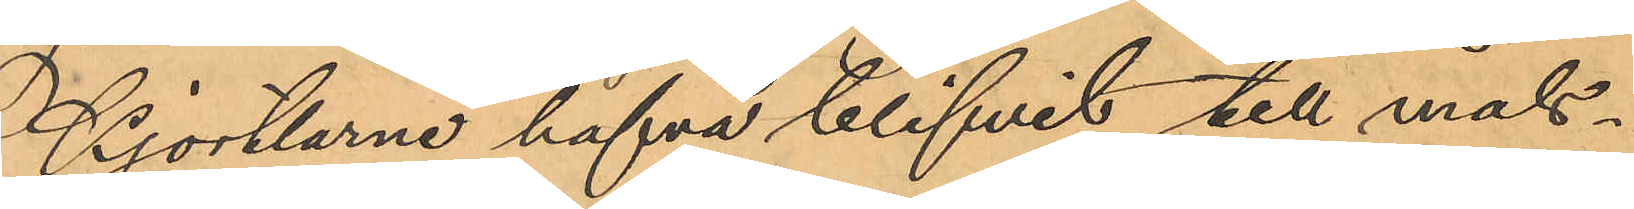kjortlarne hafva blifvit till måls¬
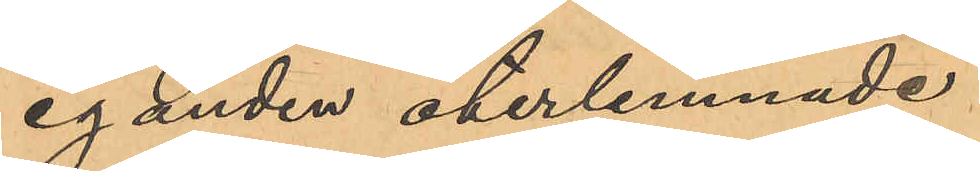eganden återlemnade.
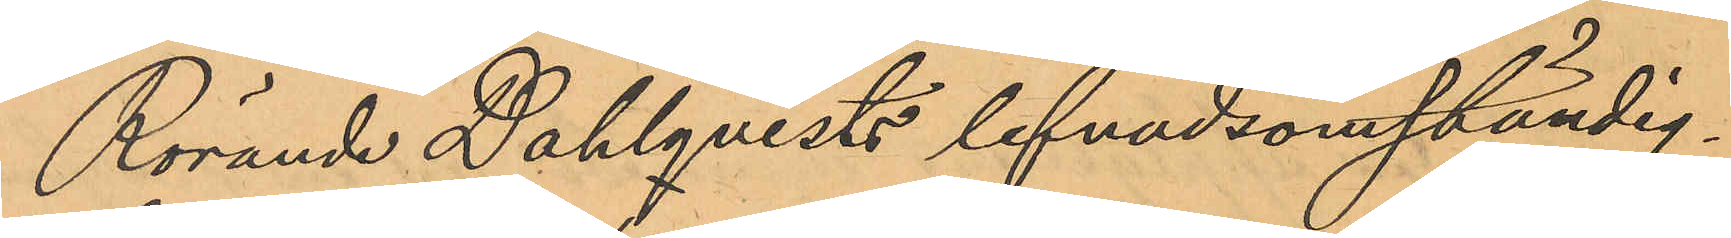Rörande Dahlqvists lefnadsomständig¬
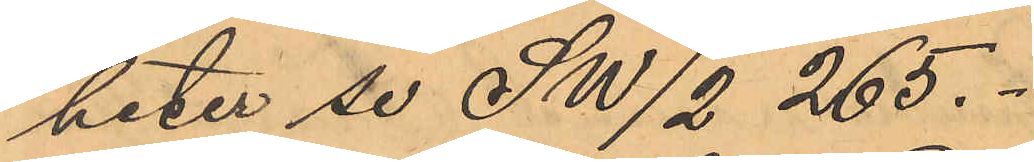heter se Sw/2  265.
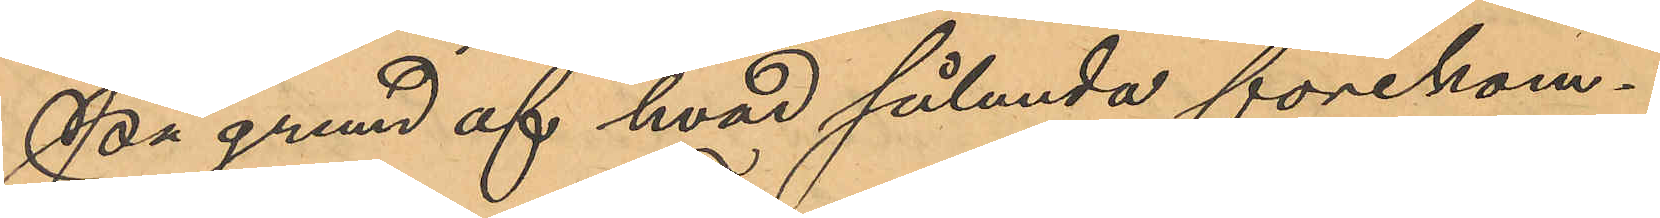På grund af hvad sålunda förekom¬
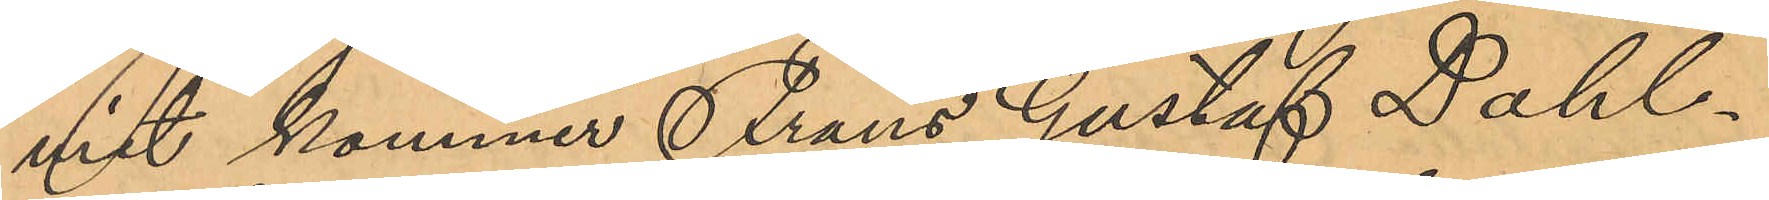mit kommer Frans Gustaf Dahl¬
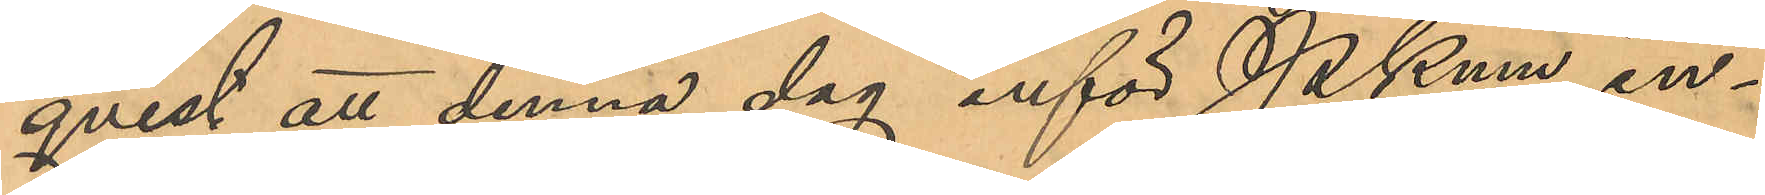qvist att denna dag inför Pkmn in¬
